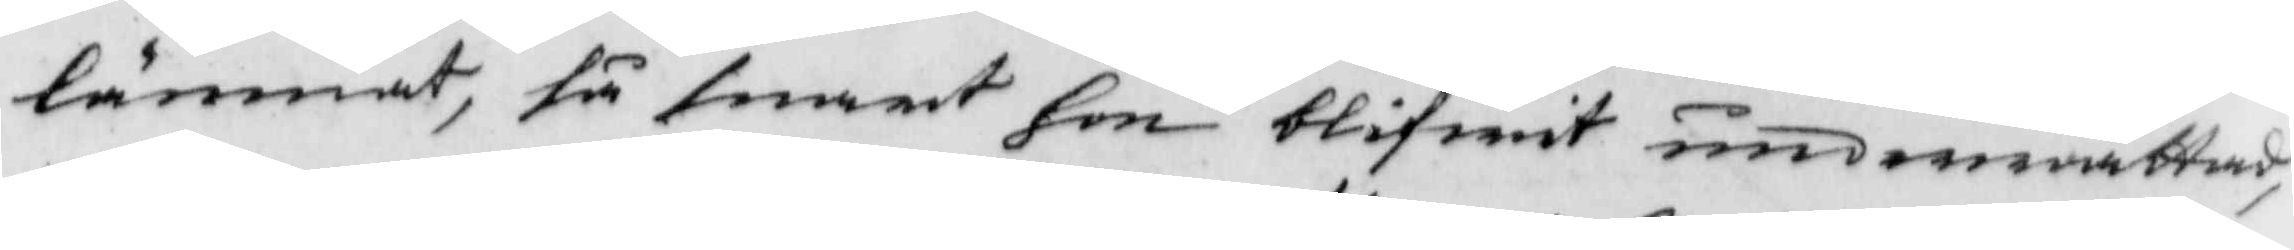lämnat, så snart hon blifwit underrättad,
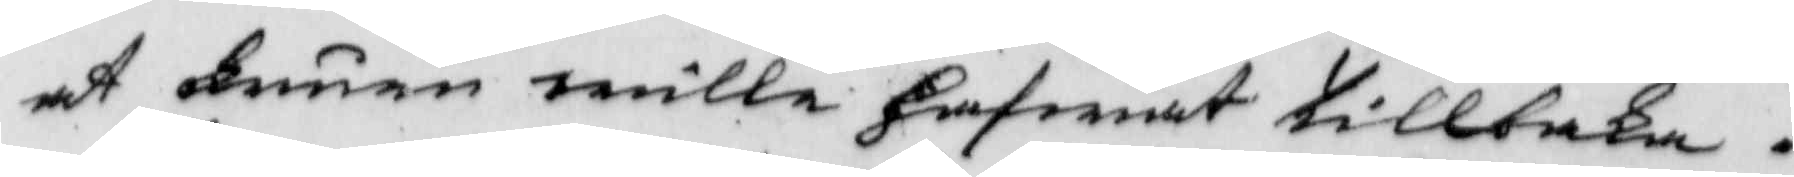at Fruen wille hafwat tillbaka.
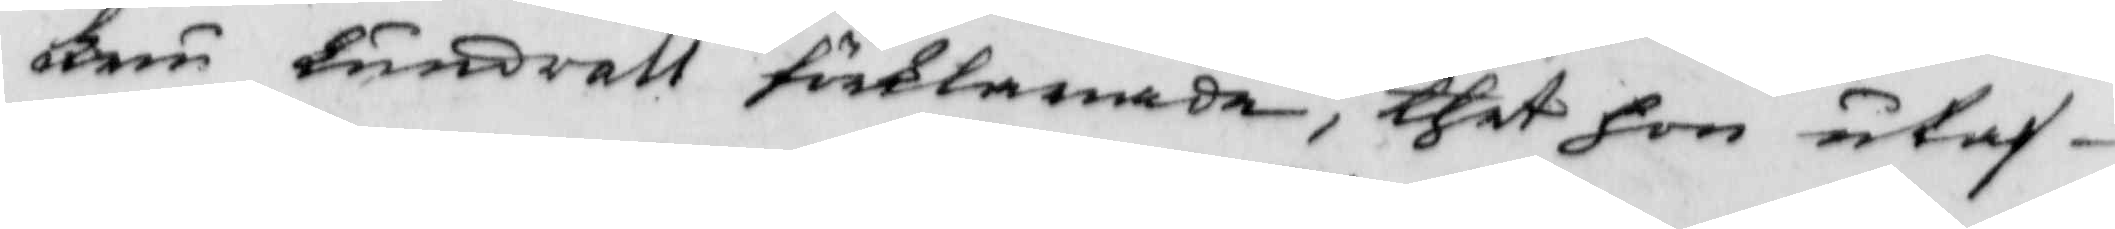Fru Lundvall förklarande, thet hon utaf
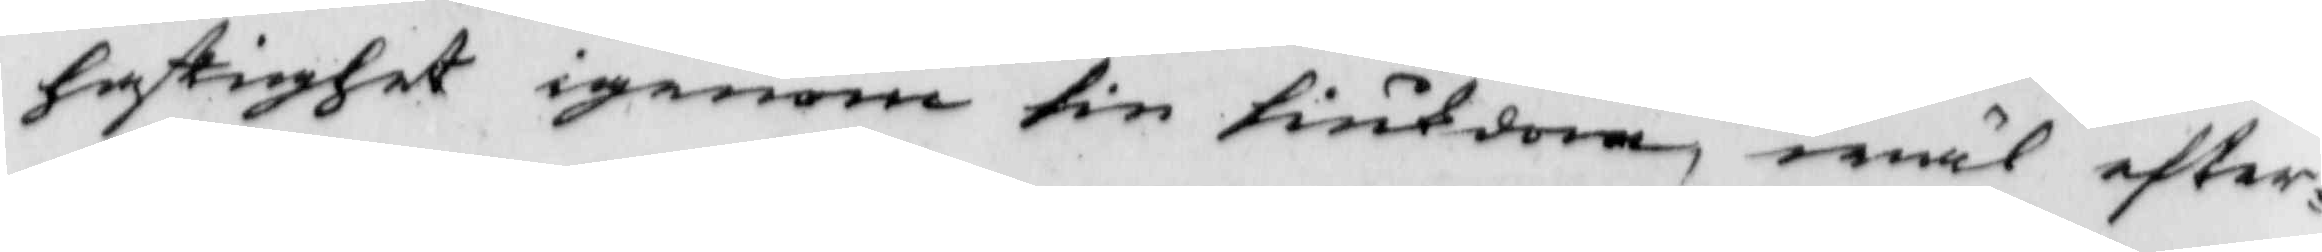hastighet igenom sin siukdom, wäl efter¬
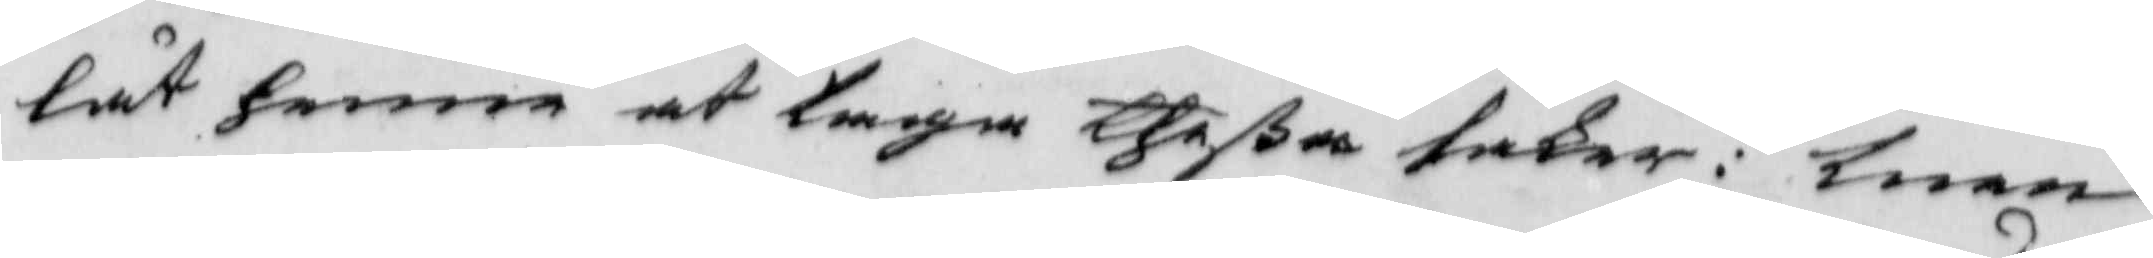lät henne at taga theßa saker: men
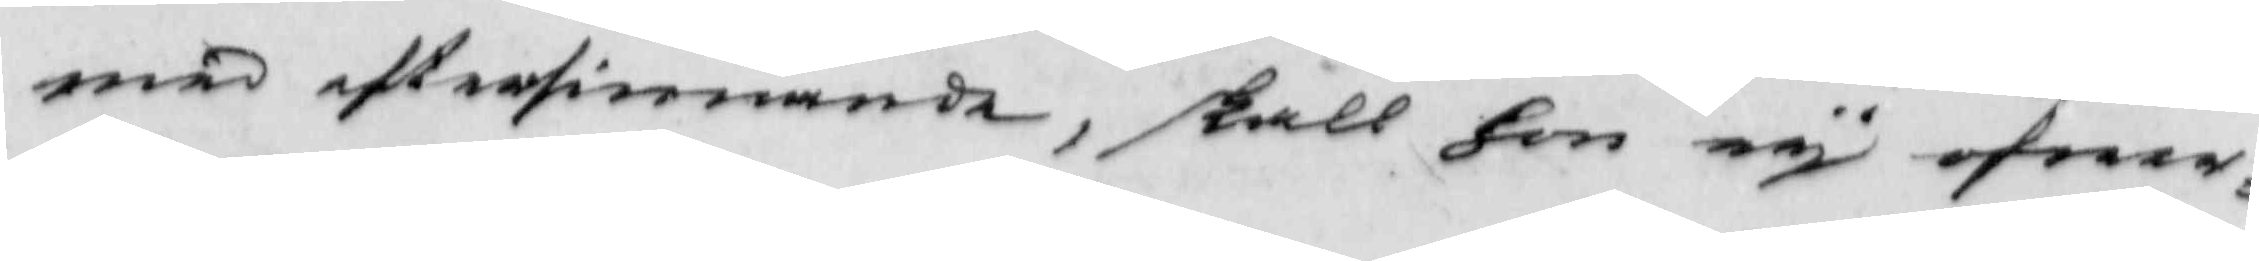wed eftersinnande, skall hon ey öfwer¬
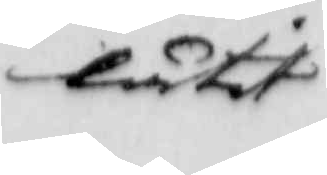låtit
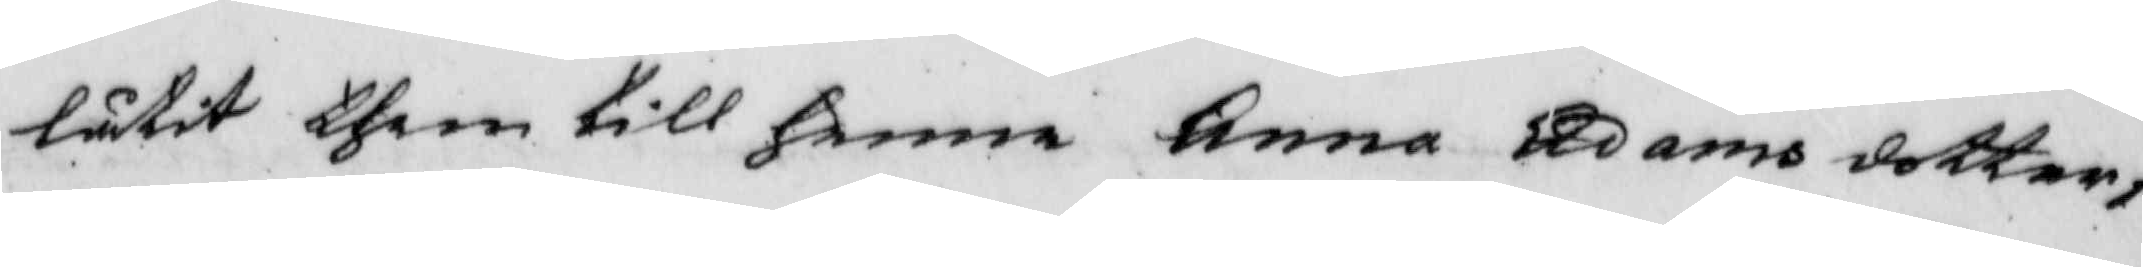låtit them till henne Anna Adams dotter
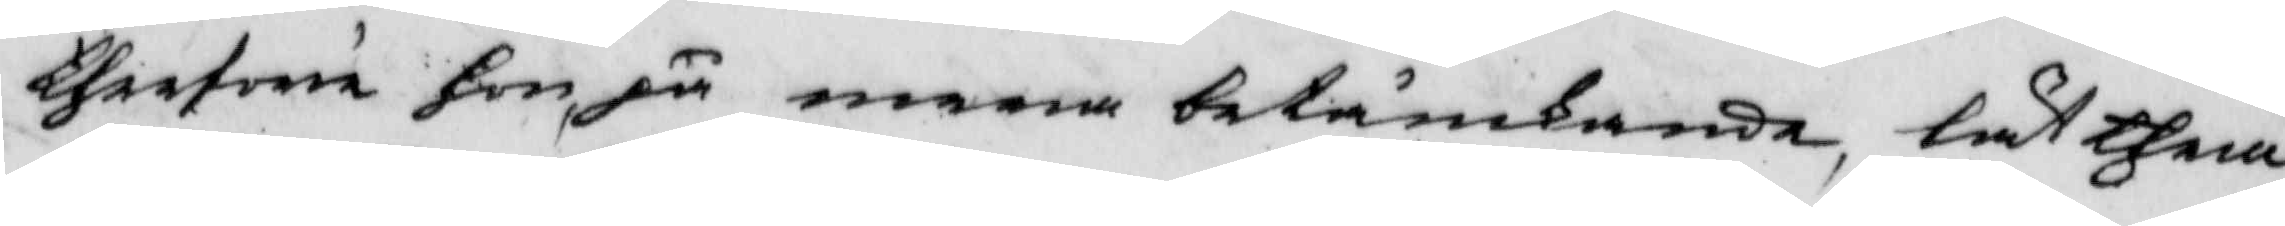therföre hon ju mera betänkande, öät them
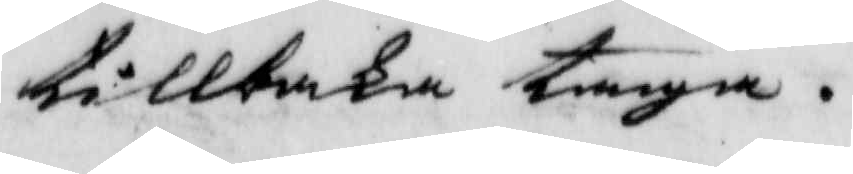tillbaka taga.
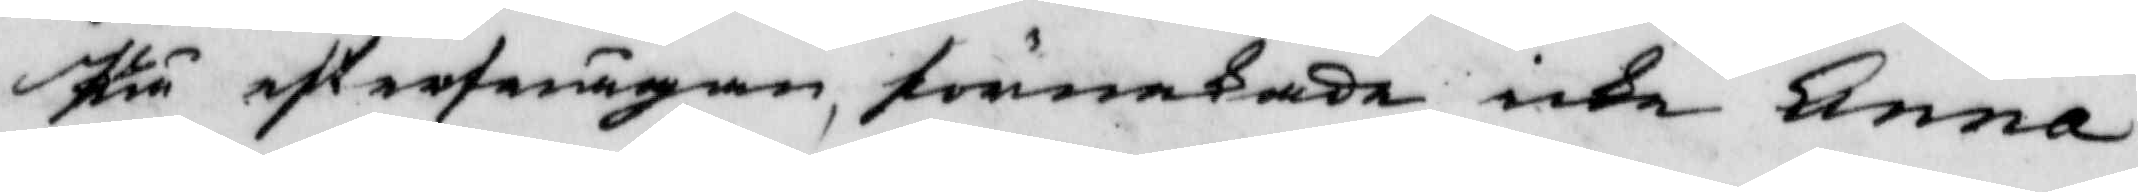På efterfrågan, förnekade icke Anna
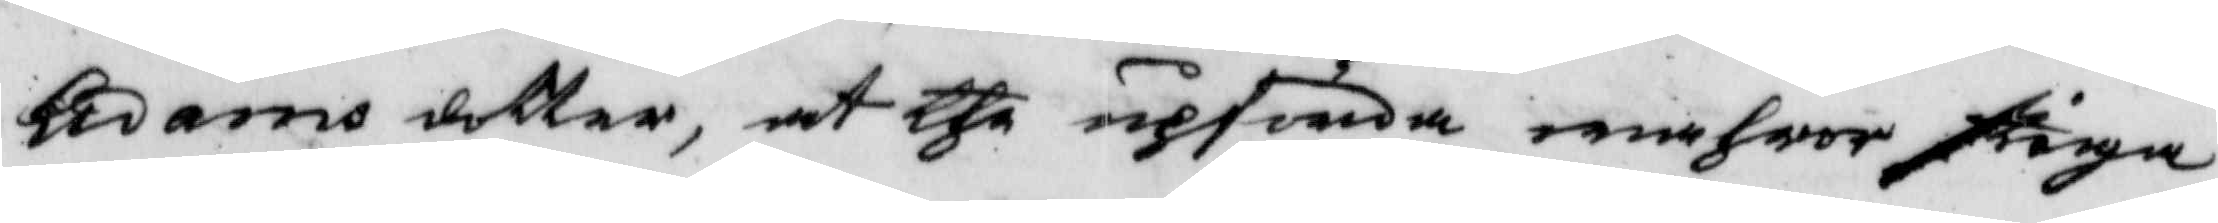Adams dotter, at the upförda wahror stiga
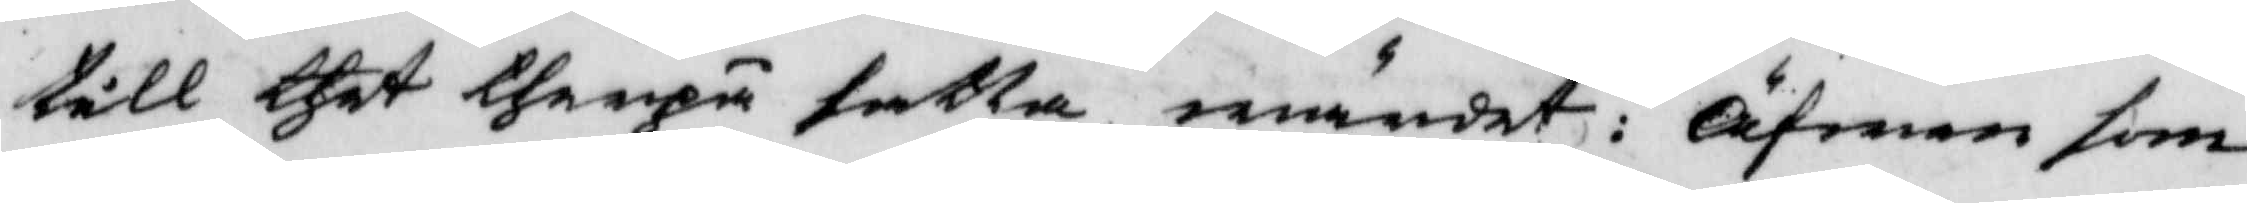till thet therpå satta wärdet: Äfwen som
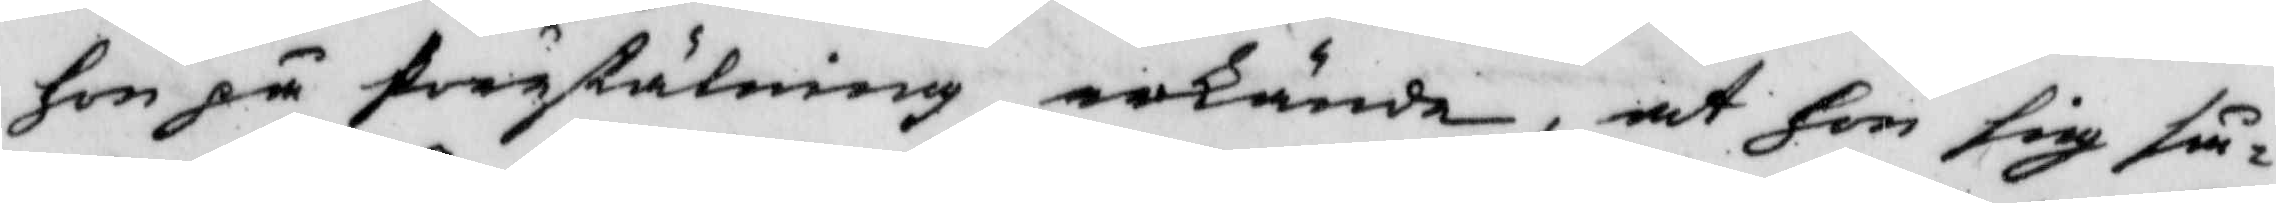hon på frågställning erkände, at hon sig så¬
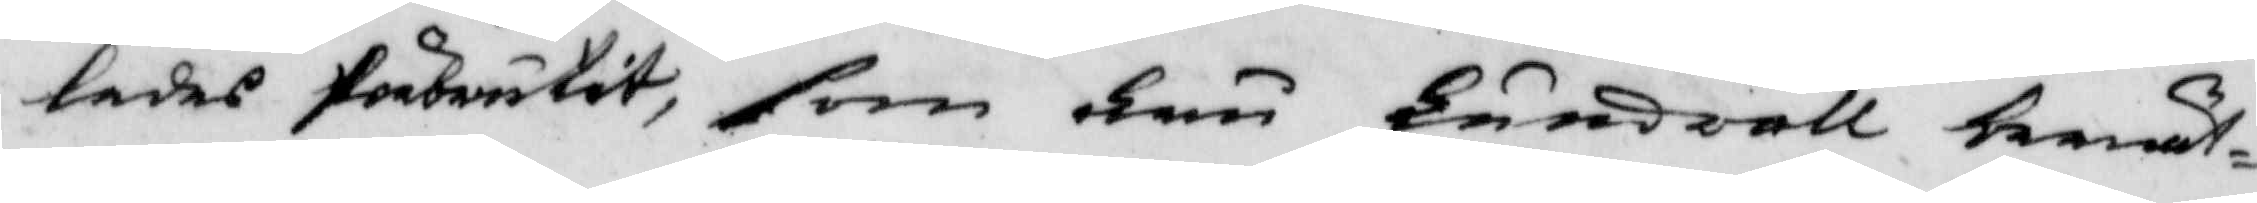ledes förbrutit, som Fru Lundvall berät¬
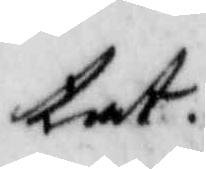tat.
